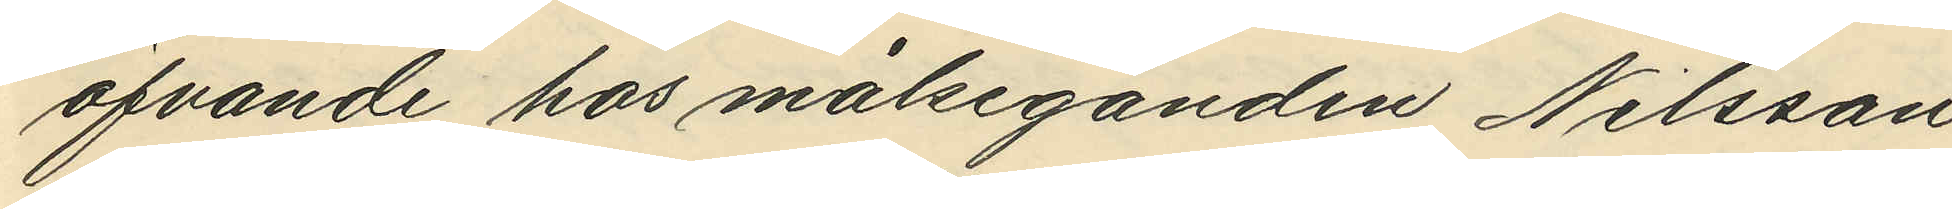öfvande hos målseganden Nilsson
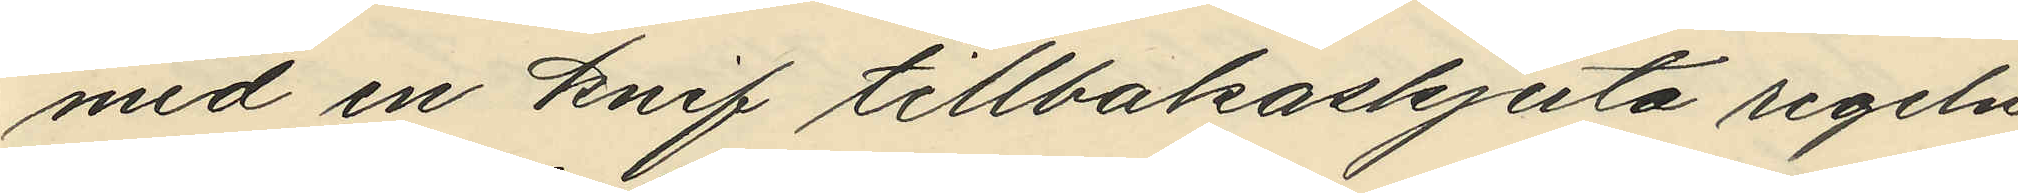med en knif tillbakaskjuta regeln
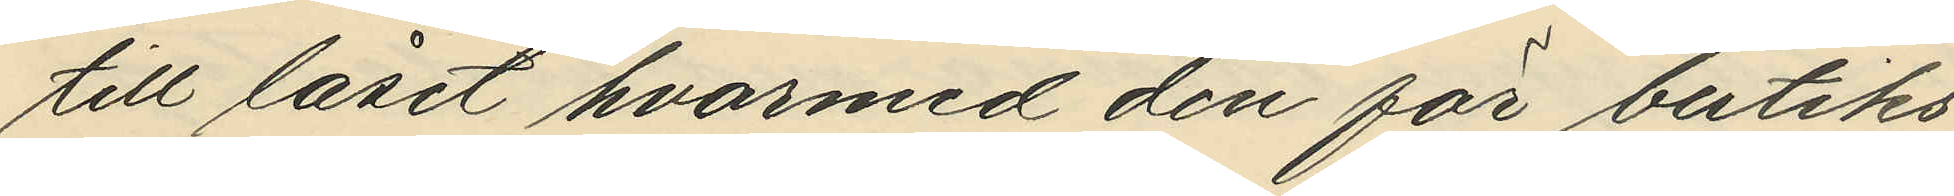till låset hvarmed den för butiks¬
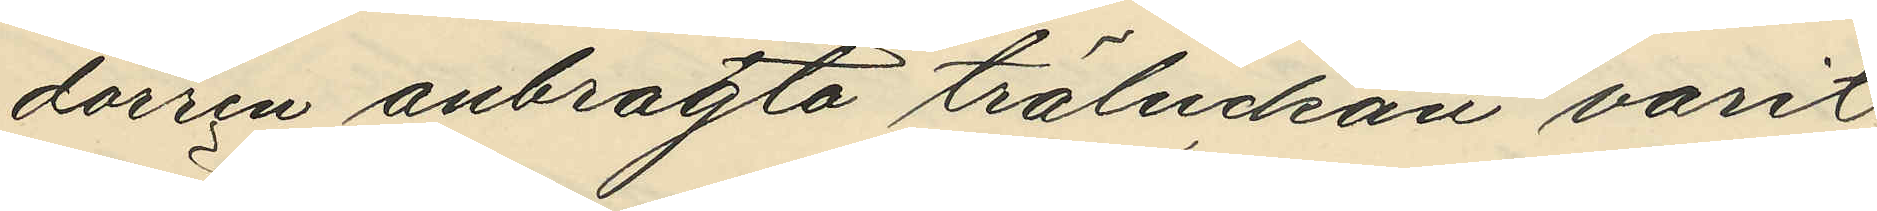dörren anbragta träluckan varit
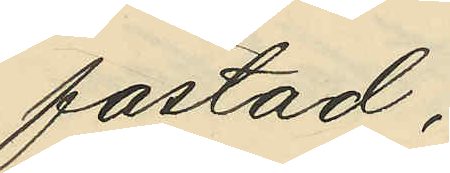fästad;
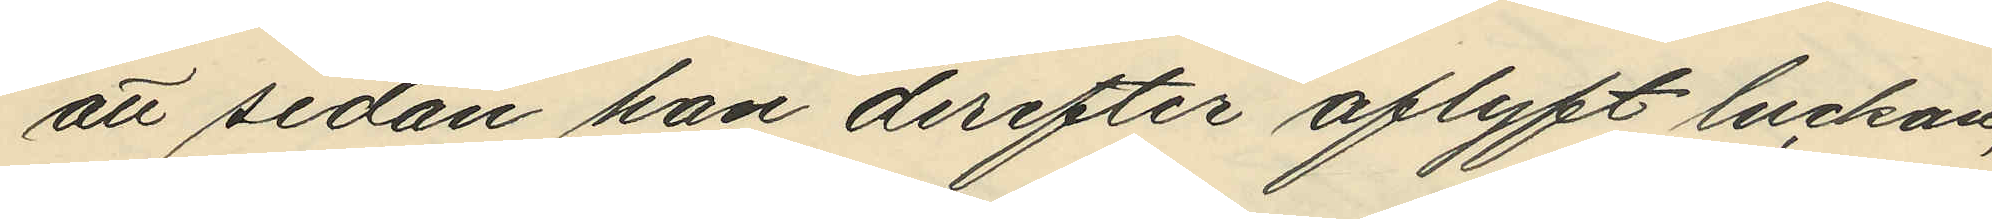att sedan han derefter aflyft luckan,
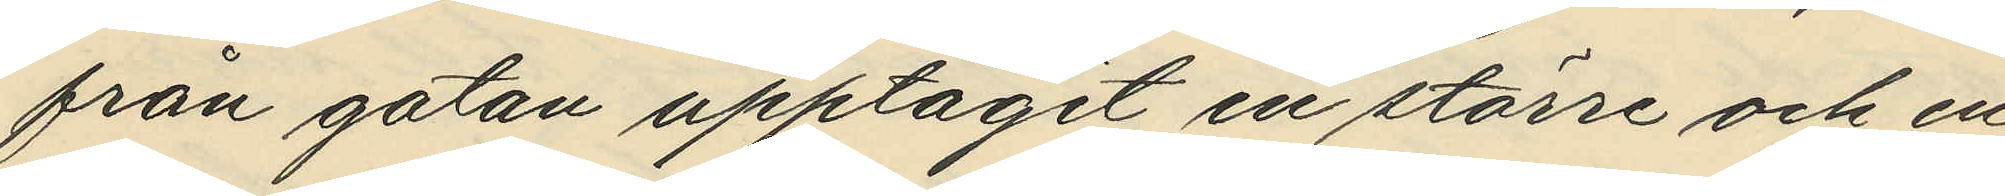från gatan upptagit en större och en
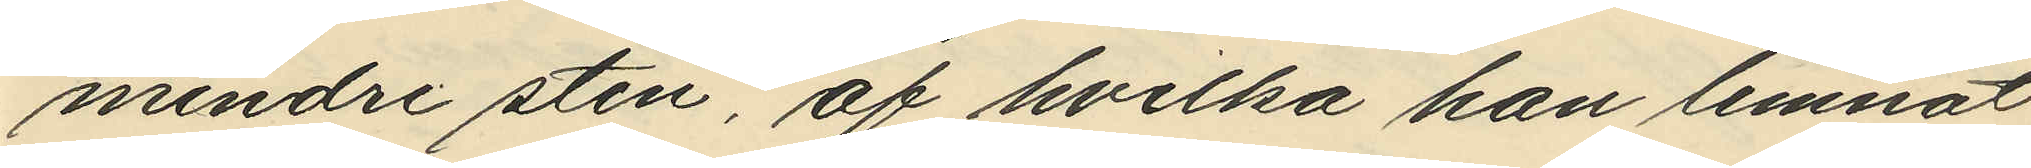mindre sten, af hvilka han lemnat
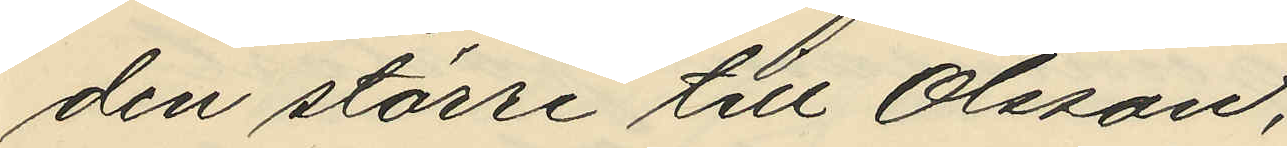den större till Olsson;
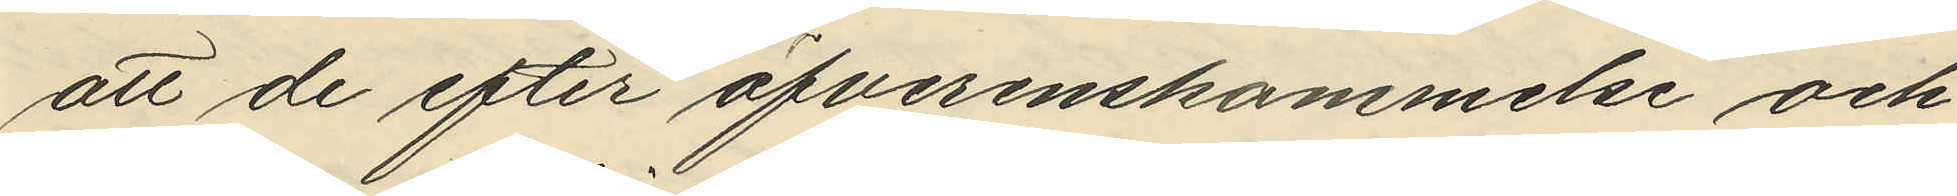att de efter öfverenskommelse och
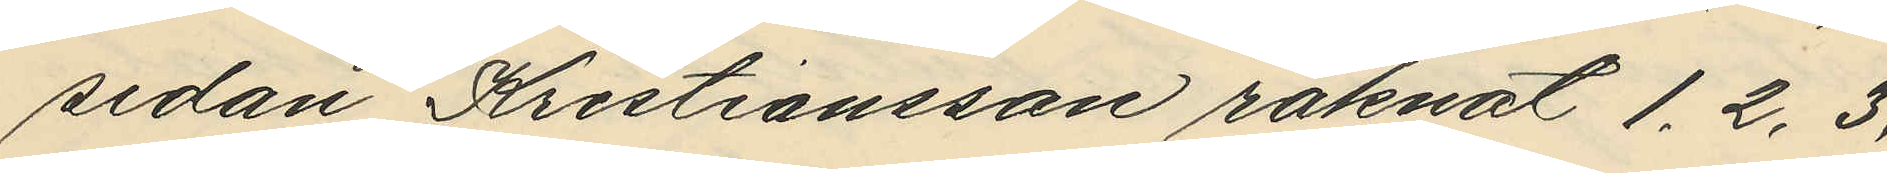sedan Kristiansson räknat 1, 2, 3,
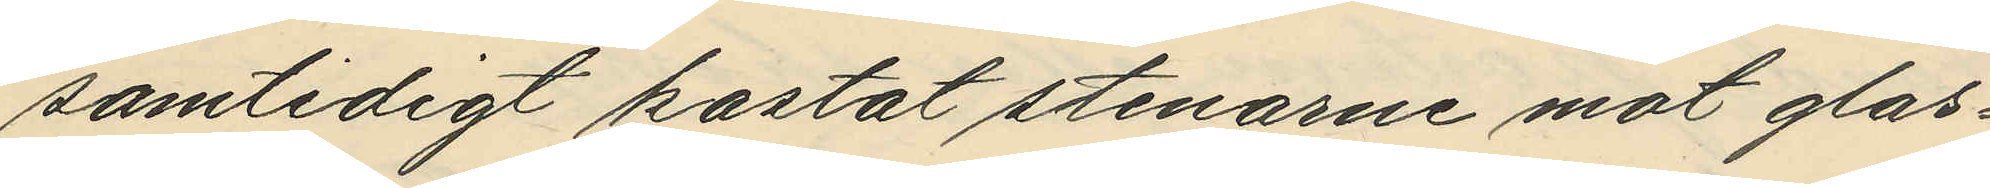samtidigt kastat stenarne mot glas¬
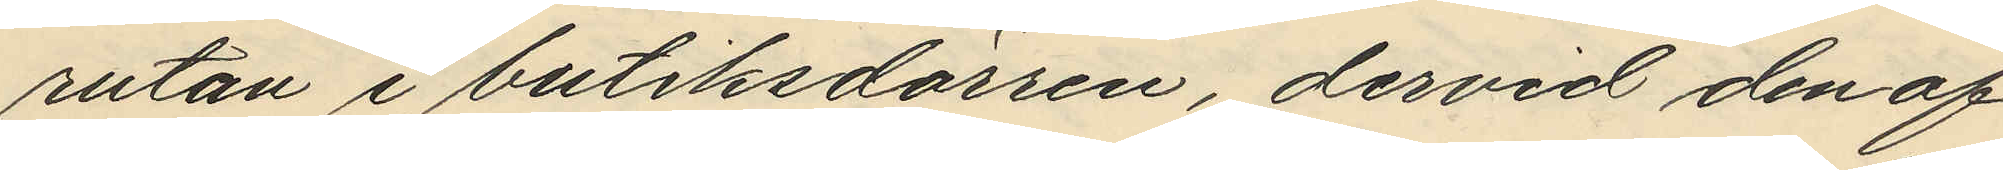rutan i butiksdörren, dervid den af
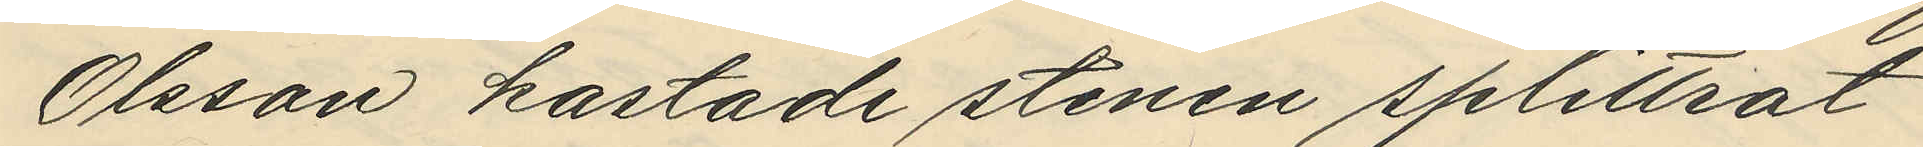Olsson kastade stenen splittrat
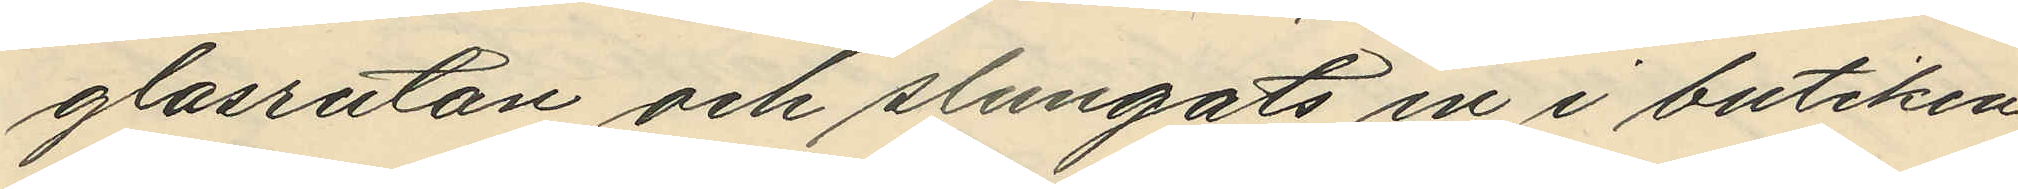glasrutan och slungats in i butiken,
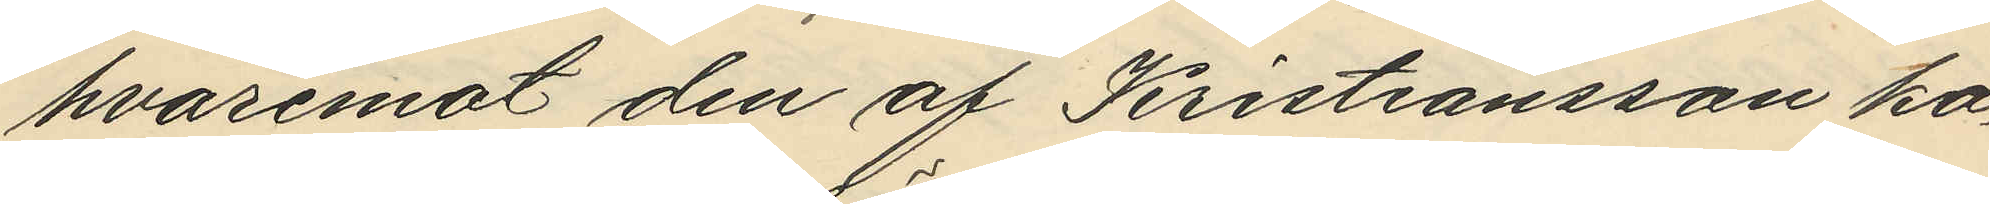hvaremot den af Kristiansson ka¬
